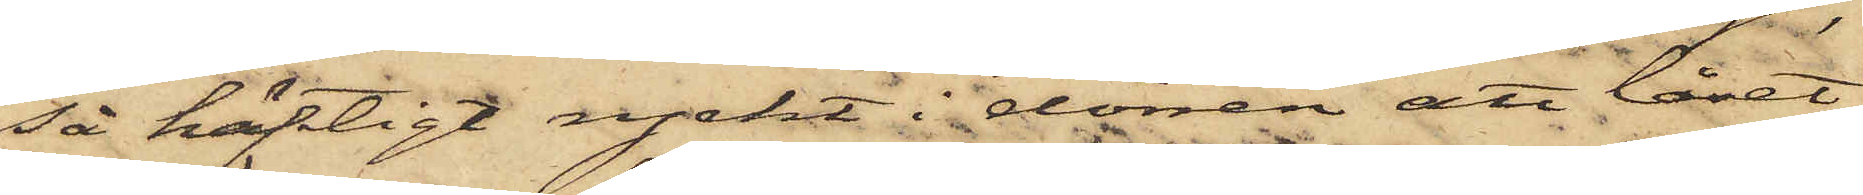så häftigt ryckt i dörren att låset
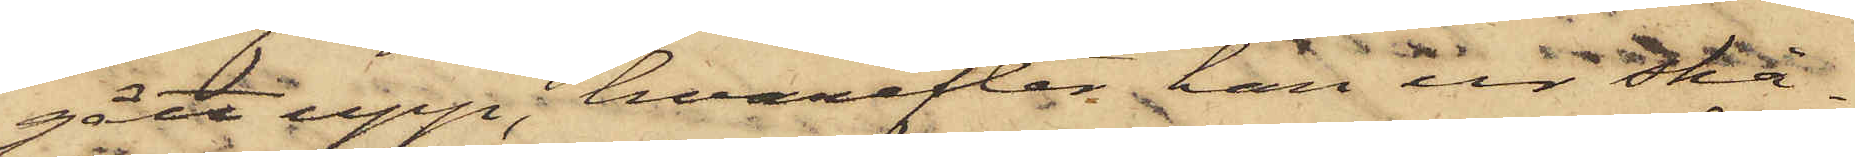gått upp, hvarefter han ur skå¬
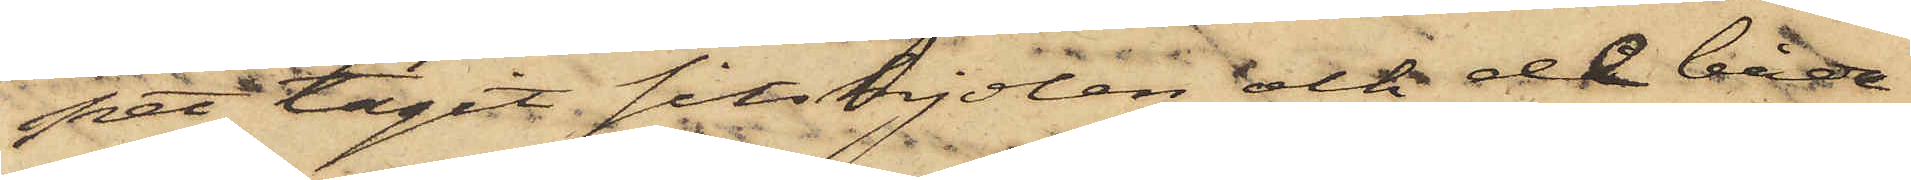pet tagit sitskjolen och de båda
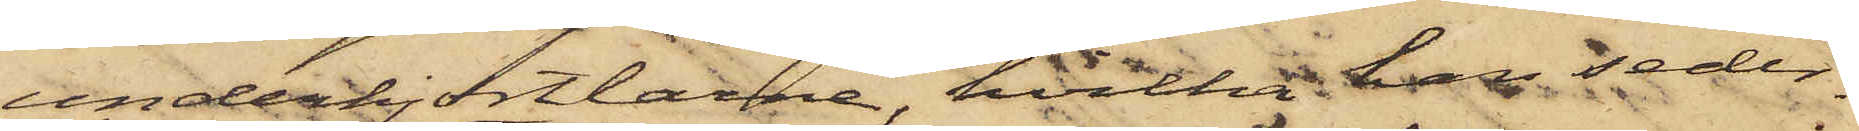underkjortlarne, hvilka han seder¬
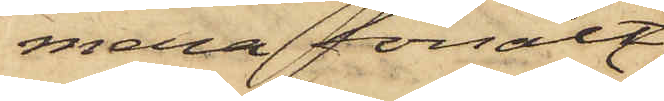mera försålt
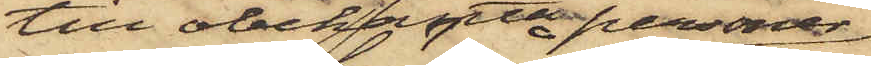till obekanta personer,
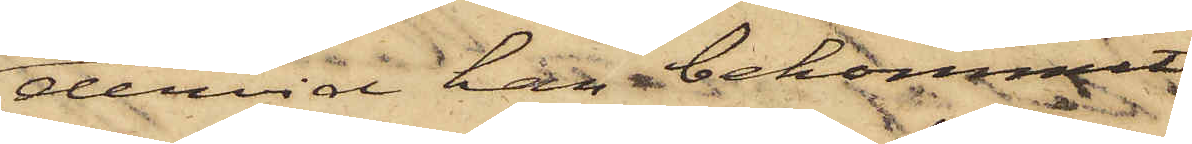dervid han bekommit
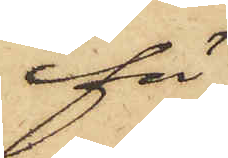för
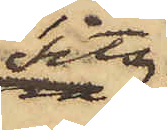sits¬
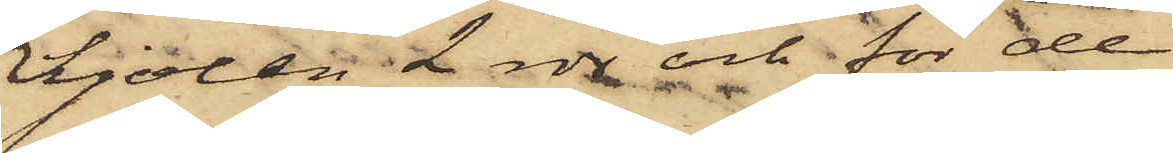kjolen 2 rdr och för de
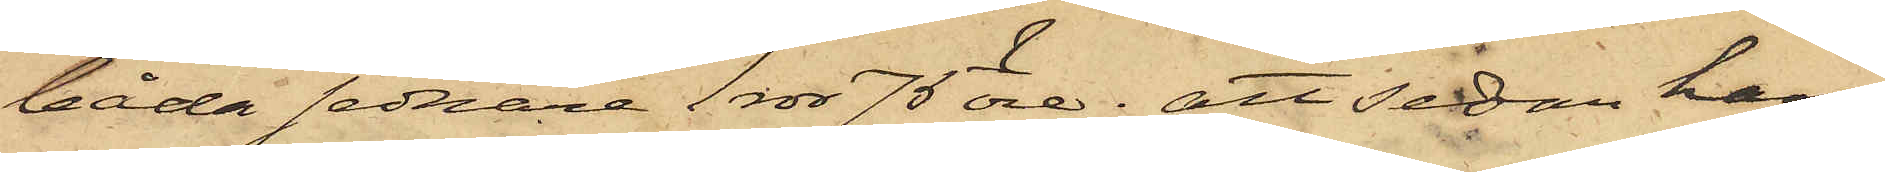båda sednare 1 rdr 75 öre; att sedan han
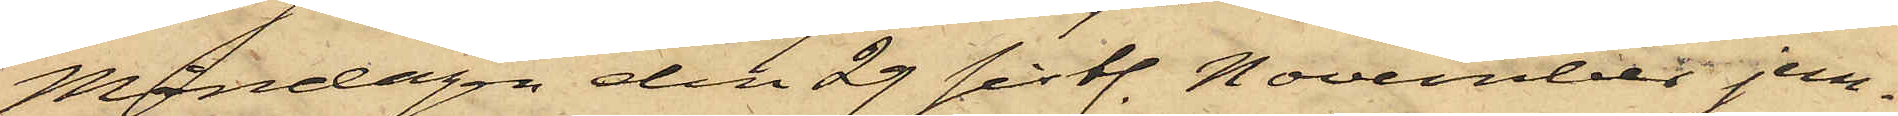Måndagen den 29 sistl. November jem¬
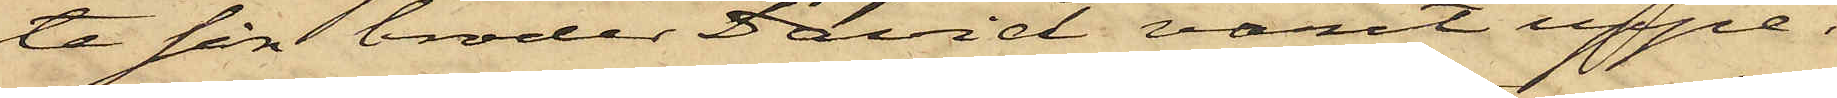te sin broder David varit uppe i
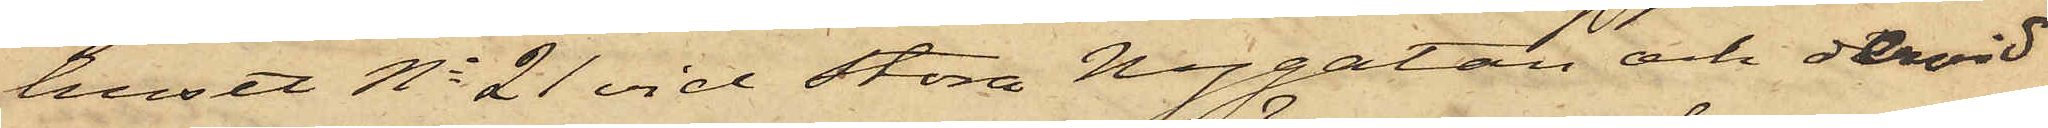huset No 21 vid Stora Nygatan och dervid
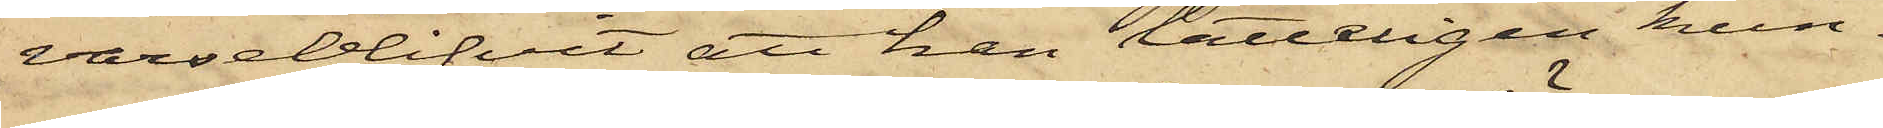varseblifvit att han lätteligen kun¬
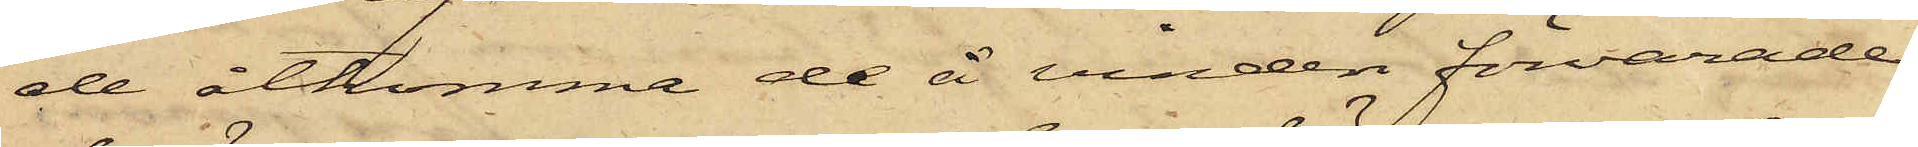de åtkomma de å vinden förvarade
